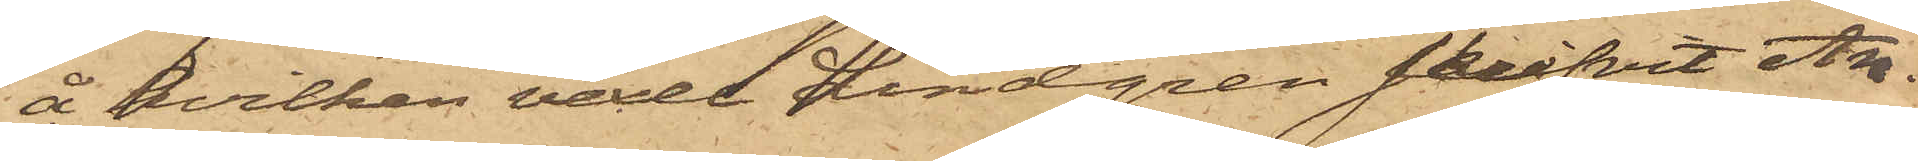å hvilken vexel Lindgren skrifvit An¬
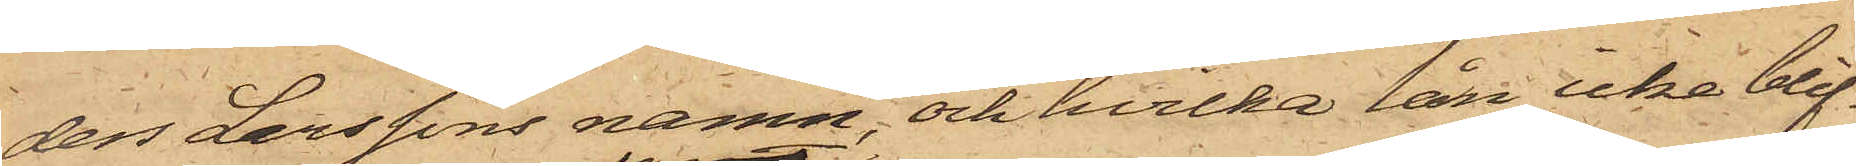ders Larssons namn, och hvilka lån icke blif¬
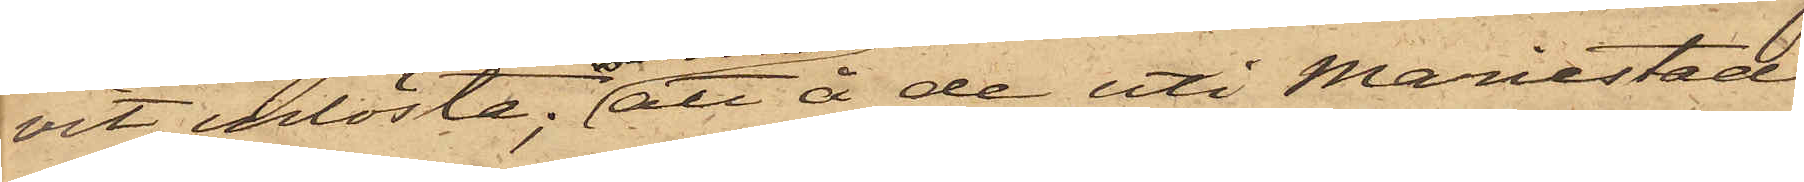vit inlösta; att å de uti Mariestad
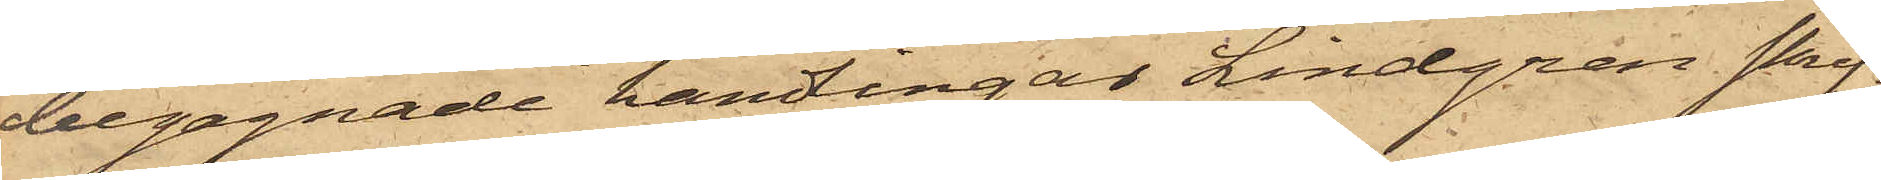begagnade handingar Lindgren skrif¬
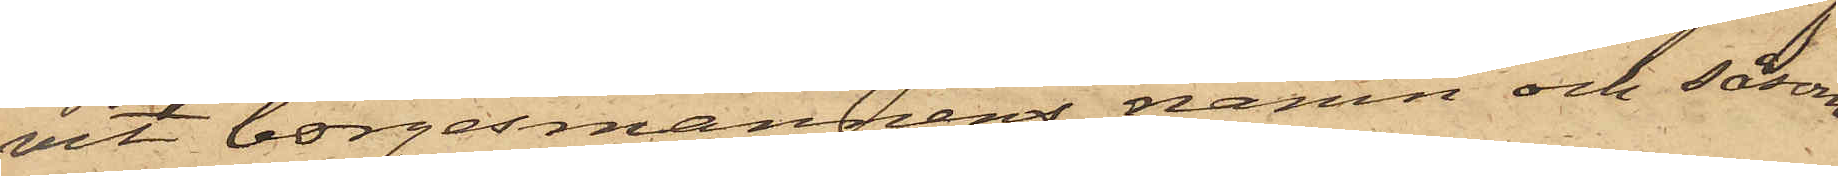vit borgesmännens namn och såsom
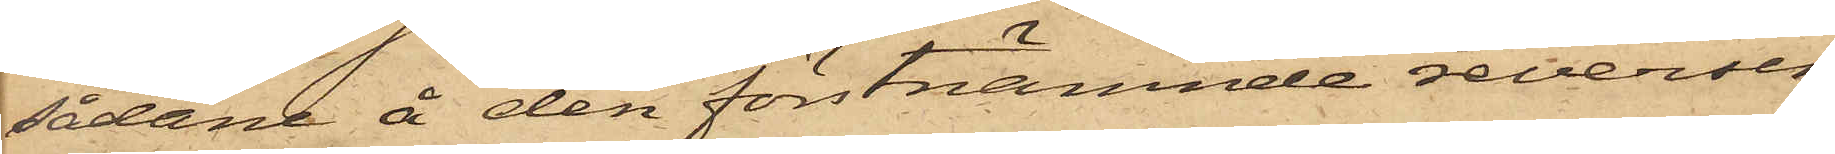sådane å den förstnämnde reversen
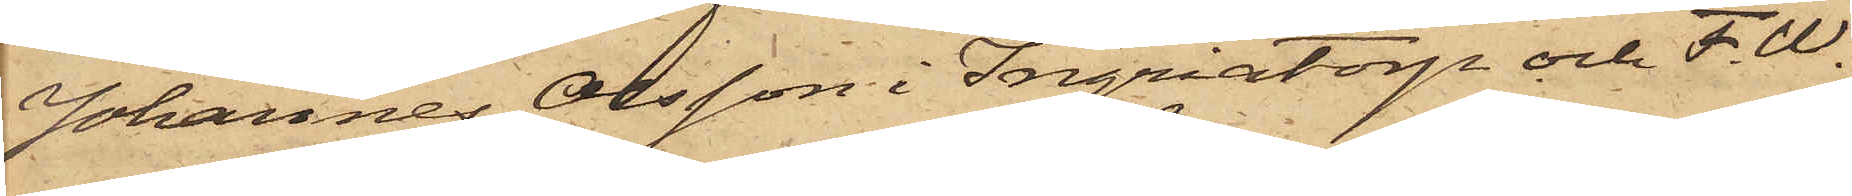Johannes Olsson i Ingriatorp och F. W.
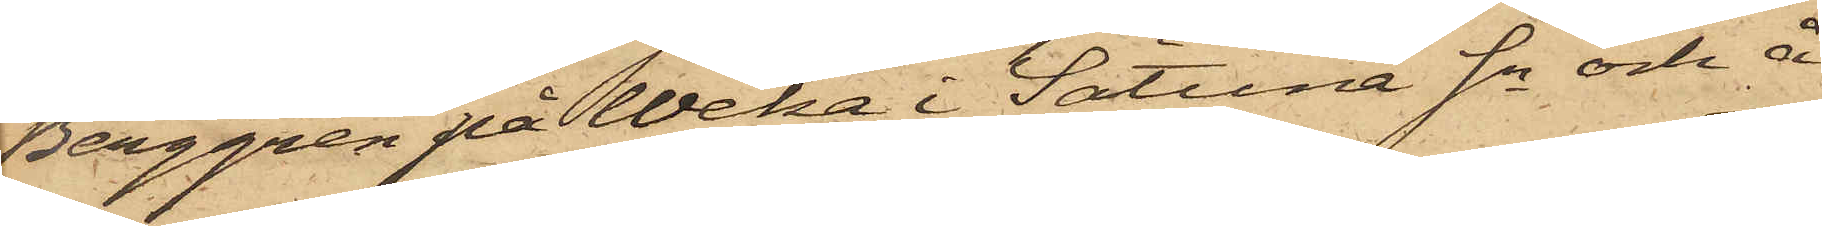Berggren på Weka i Sätuna Sn och å
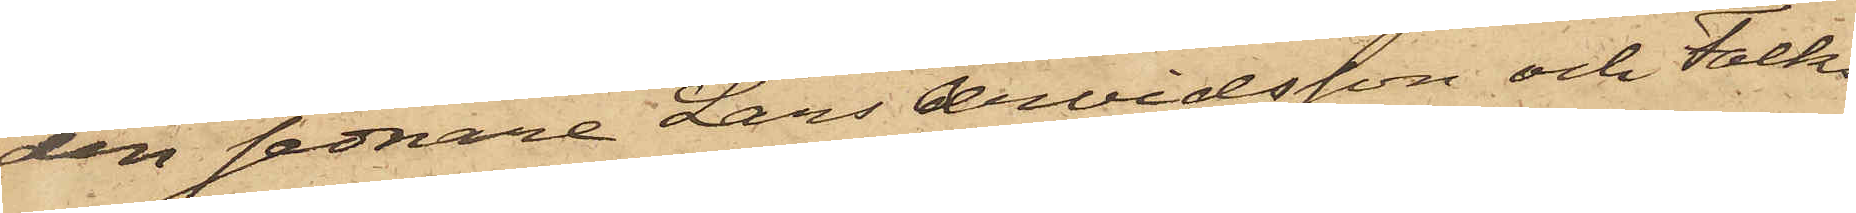den sednare Lars Arvidsson och Falks
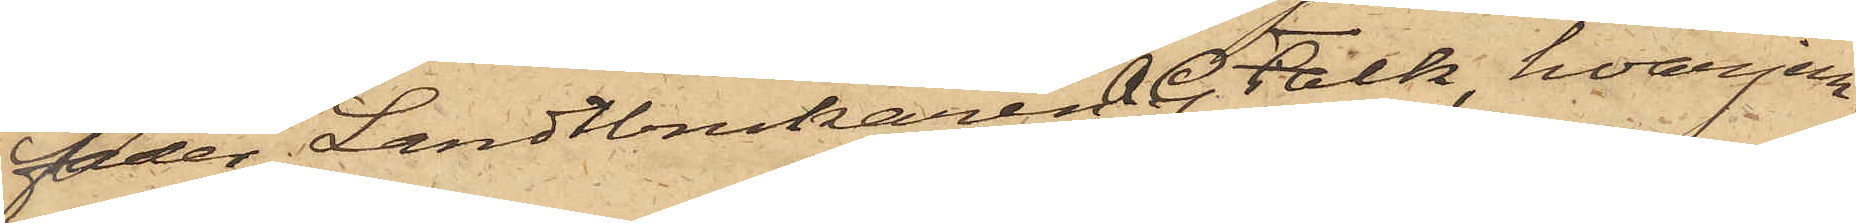fader Landtbrukaren A. G. Falk, hvarjem¬
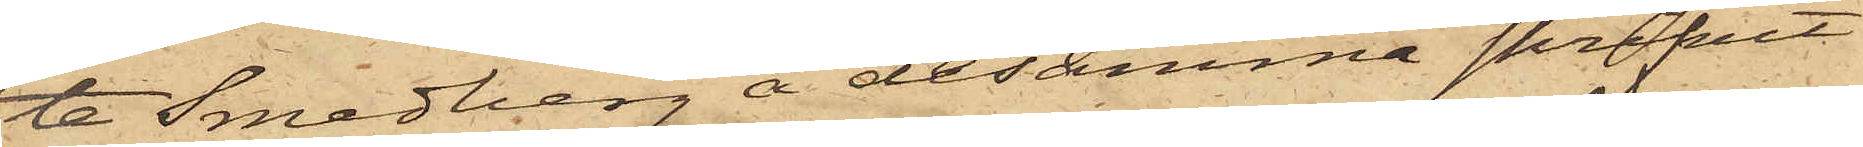ta Smedberg å desamma skrifvit
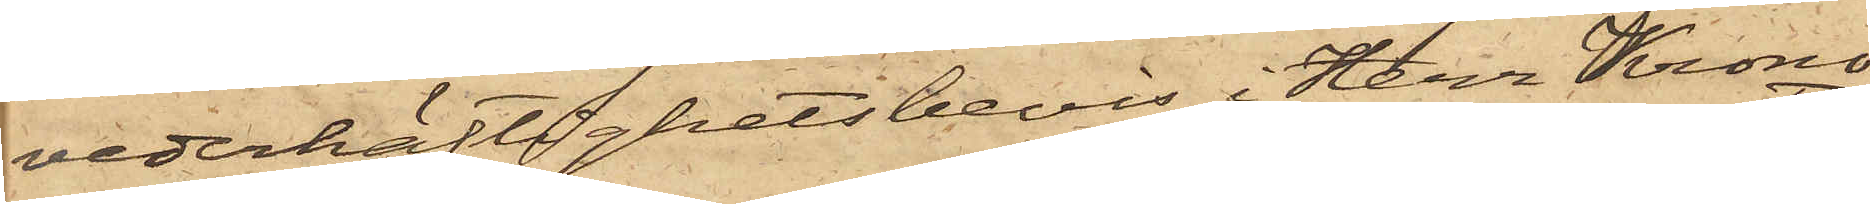vederhäftighetsbevis i Herr Krono¬
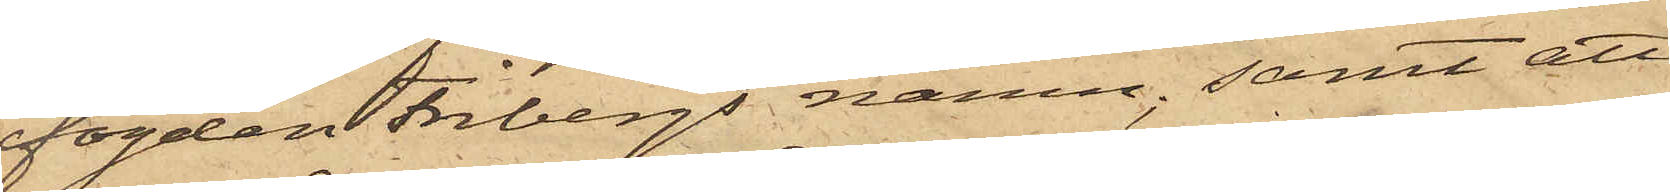fogden Fribergs namn; samt att
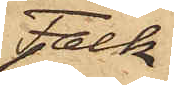Falk
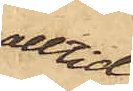alltid
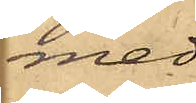med
